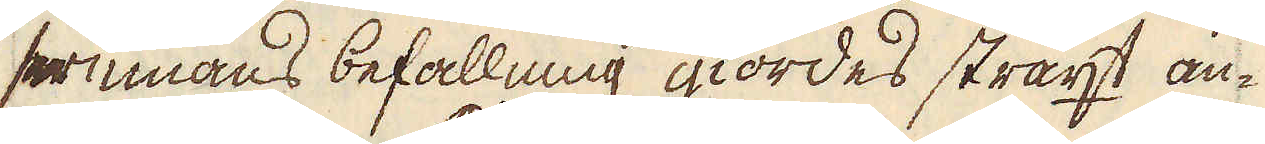serinnans befallning giordes straxt an-
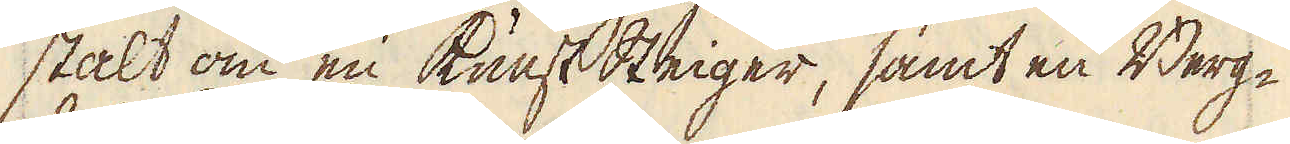stalt om en Kunst Steiger, samt en Berg-
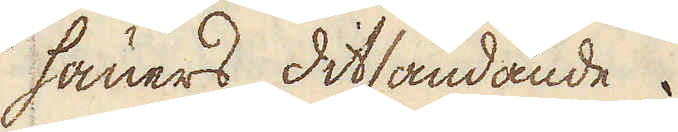hauers ditsändande.
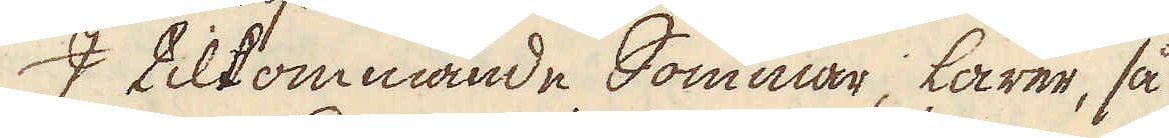I tilkommande Sommar, lärer, så
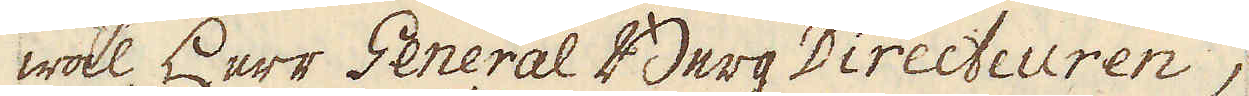wäl Herr General Berg Directeuren,
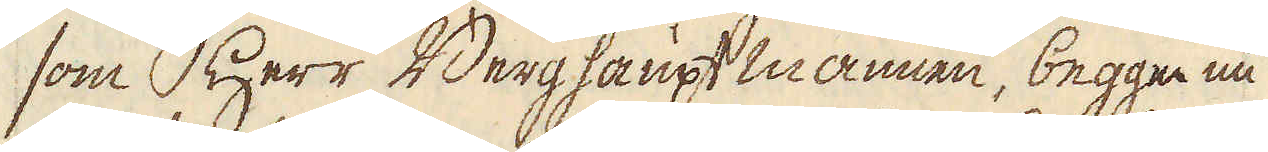som Herr Berghaupt mannen, begge nu
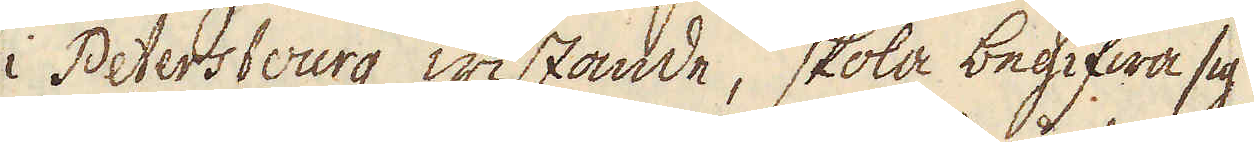i Petersbourg wistande, skola begifwa sig
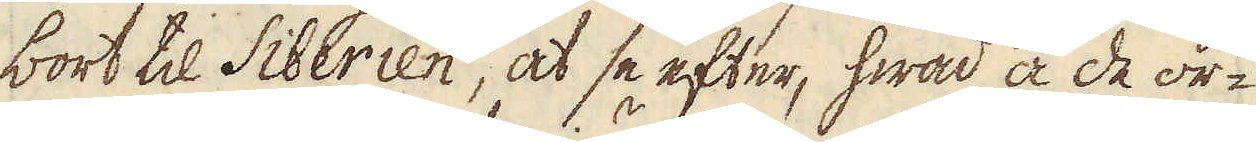bort til Siberien, at se efter, hwad å de or-
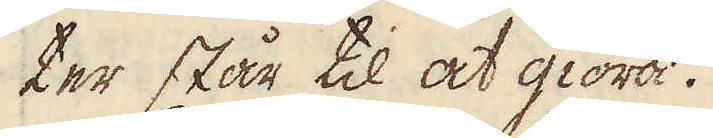ter står til at giöra.
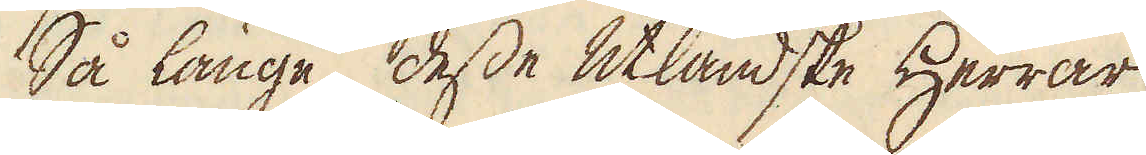Så länge desse utländske Herrar
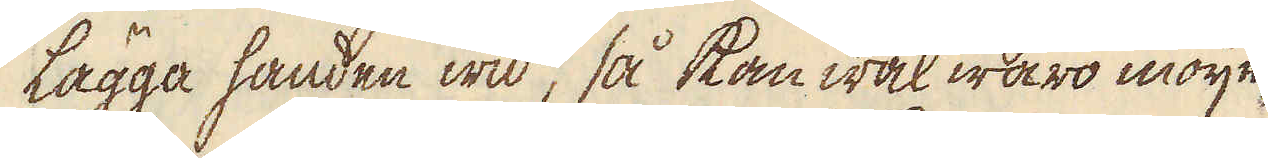lägga handen wid, så kan wäl waro möije-
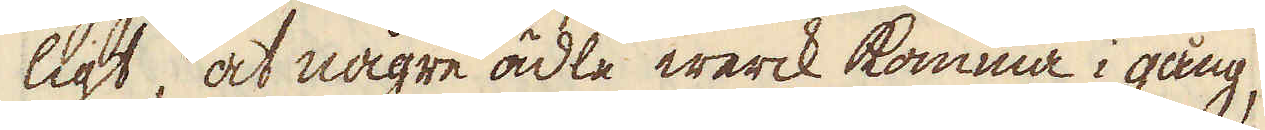ligt, at någre ädle werck komma i gång,
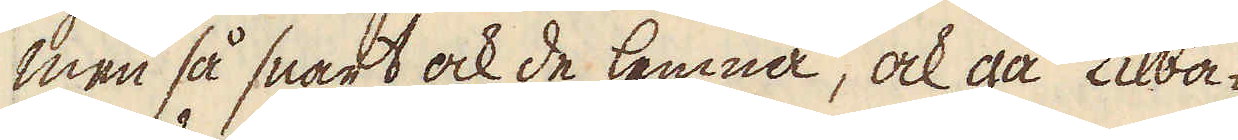men så snart ock de lemna, ock gå tilba-
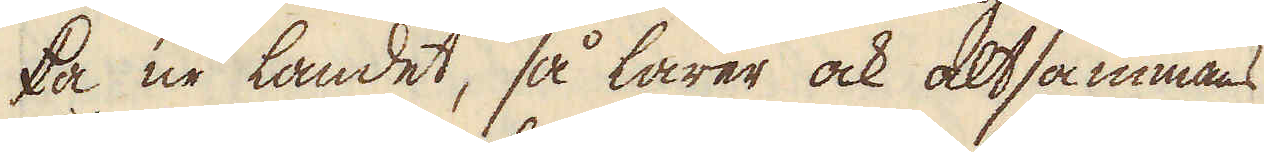ka ur landet, så lärer ock altsammans
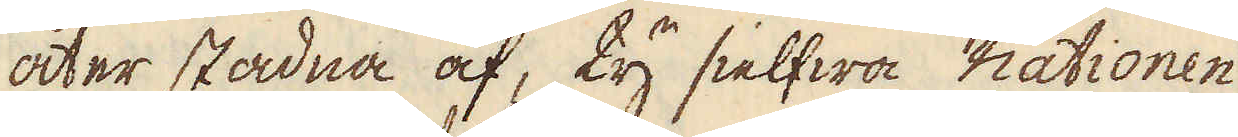åter stadna af, ty sielfwa nationen
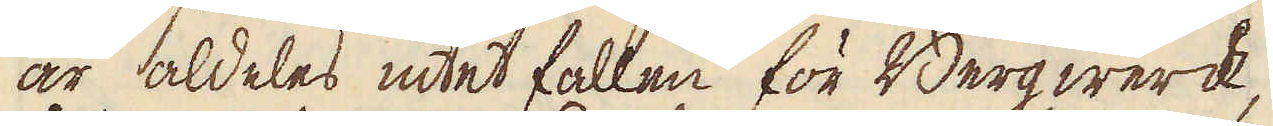är aldeles intet fallen för Berg werck,
